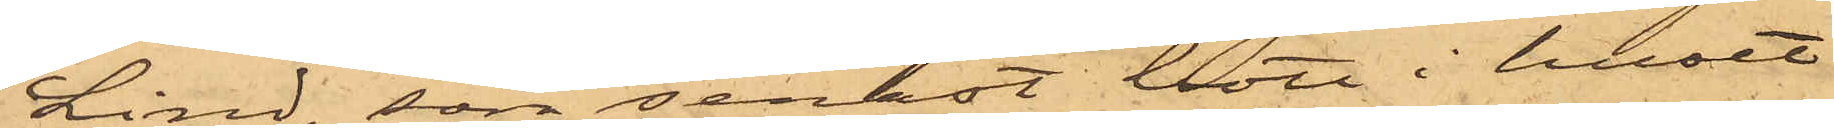Lind, som senast bott i huset
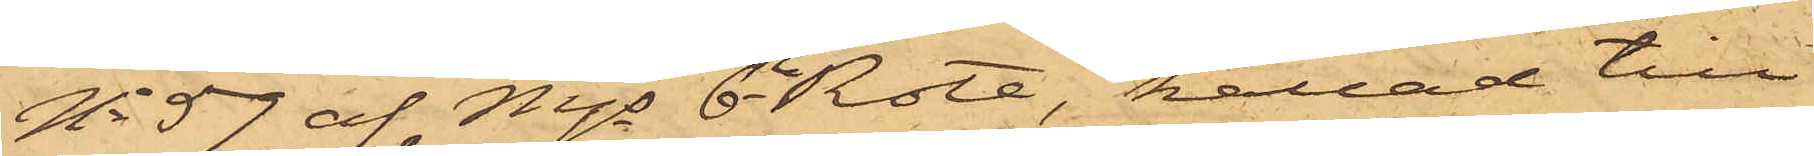No 57 af Mjs 6te Rote, kallad till
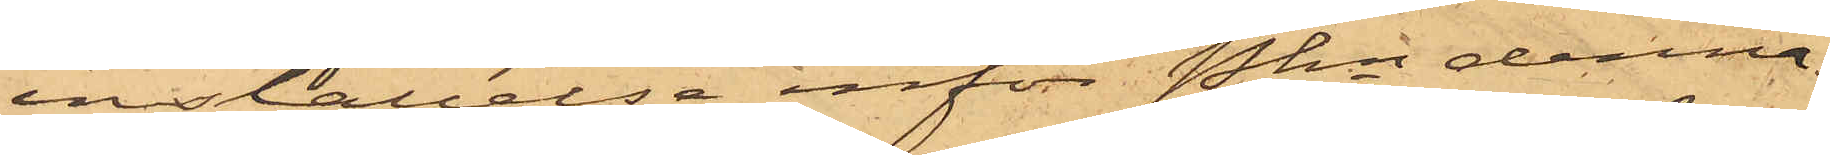inställelse inför Pkn denna
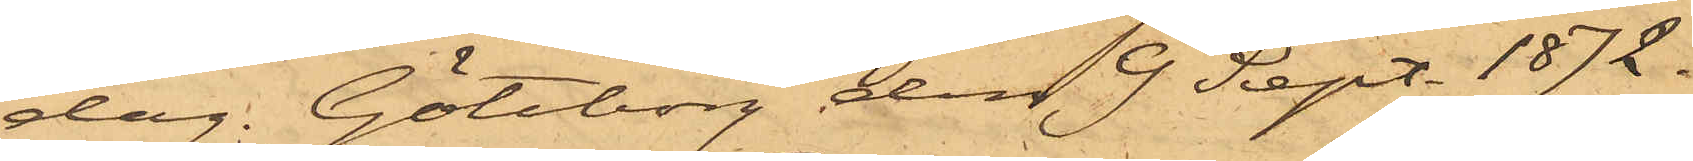dag. Göteborg den 9 Sept. 1872.
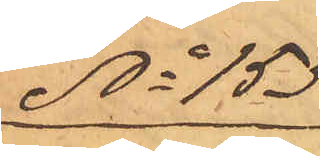No 153
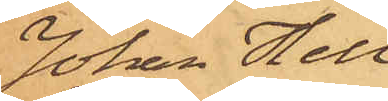Johan Hell¬
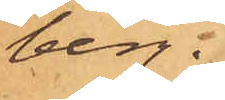berg.
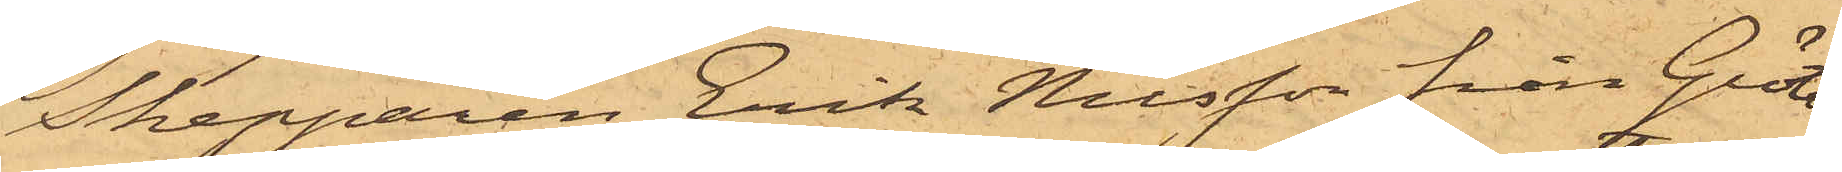Skepparen Erik Nilsson från Grötö
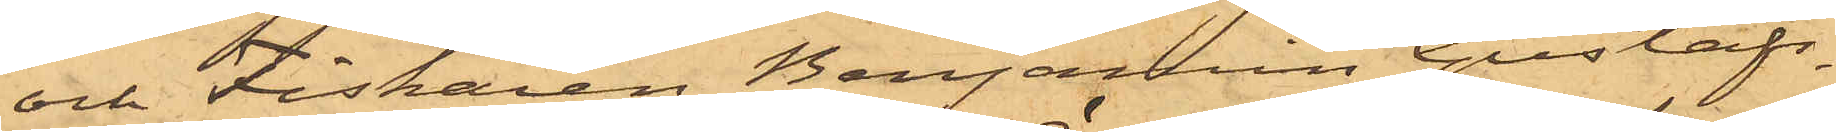och Fiskaren Benjamin Gustafs¬
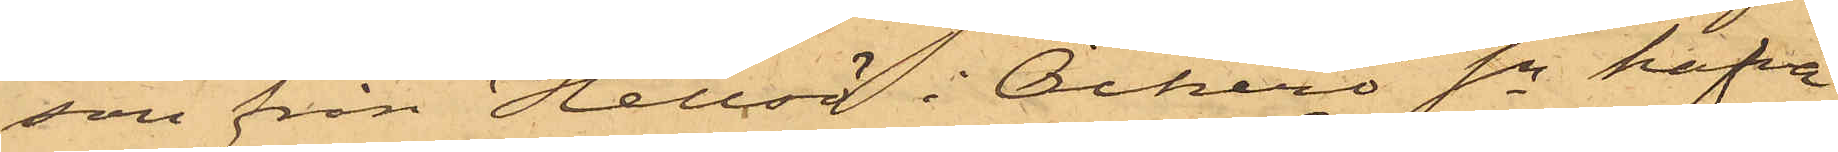son från Hellsö i Öckerö Sn hafva
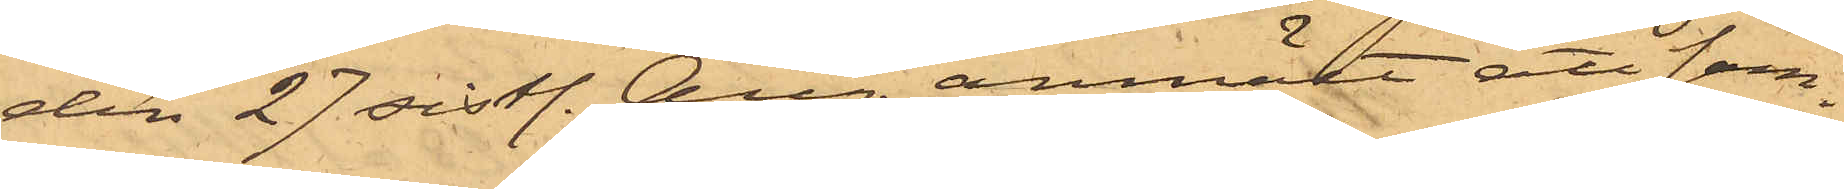den 27 sistl. Aug. anmält att sam¬
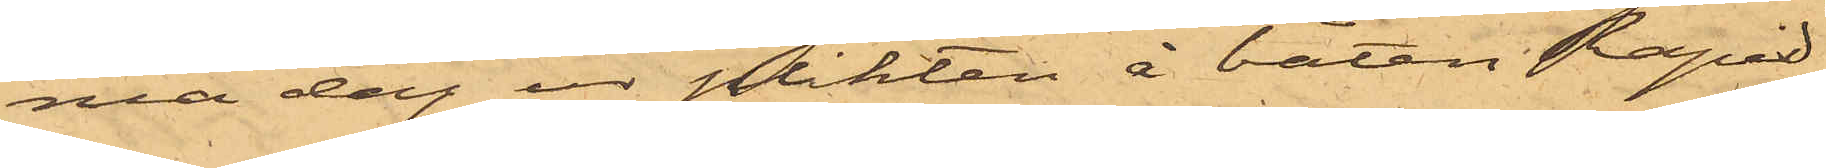ma dag ur plikten å båten Rapid,
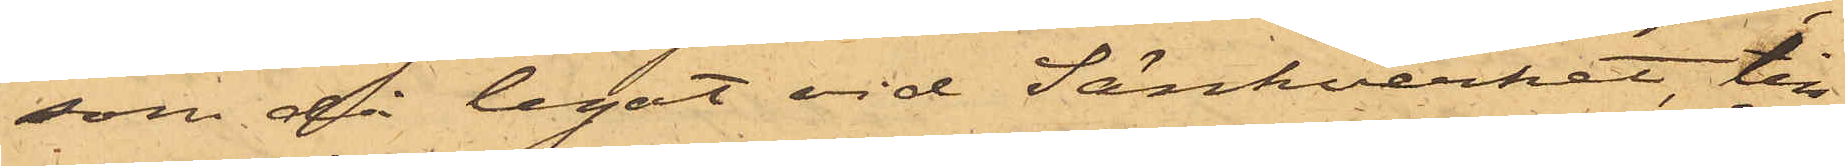som då legat vid Sänkverket, till¬
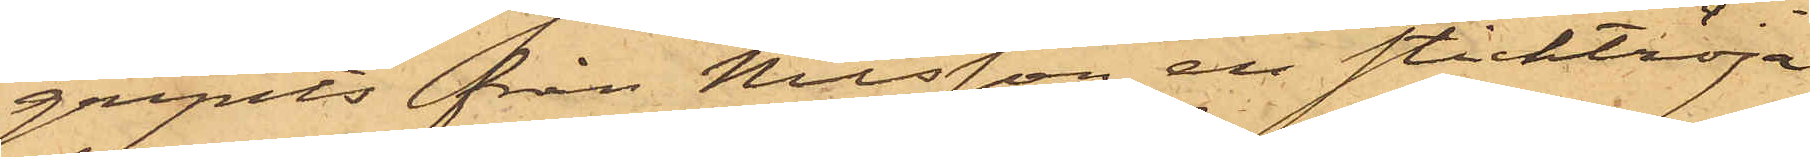gripits från Nilsson en sticktröja
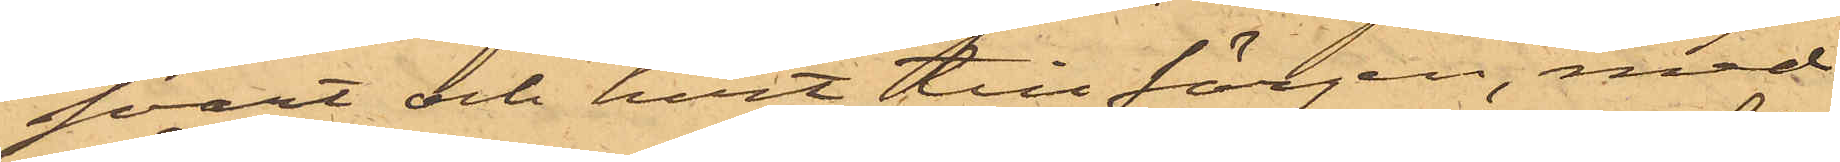svart och hvit till färgen, med
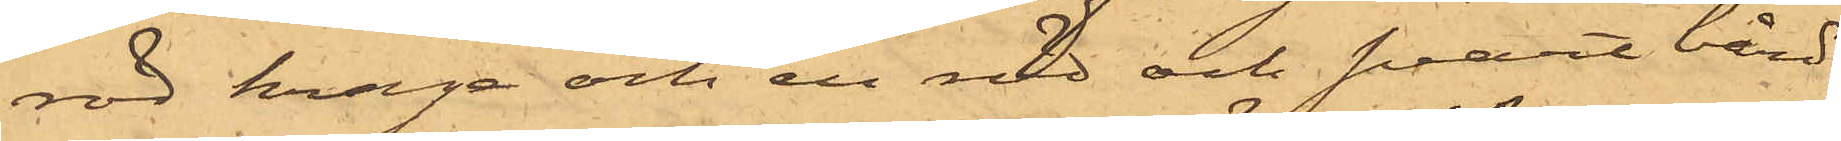röd krage och en röd och svart bård
